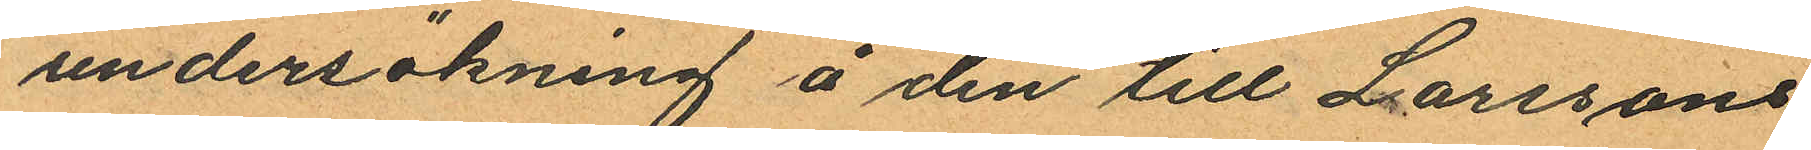undersökning å den till Larssons
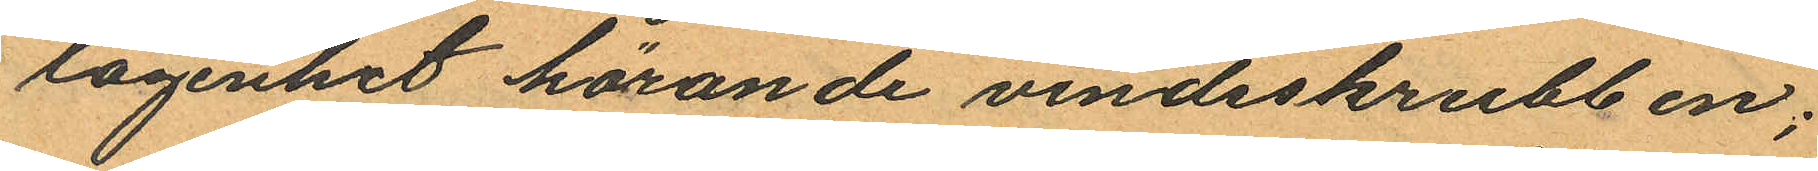lägenhet hörande vindsskrubben;
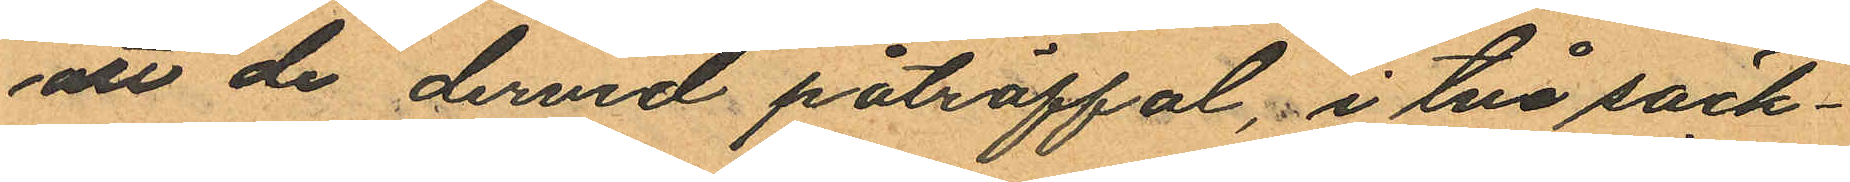att de dervid påträffat, i två säck¬
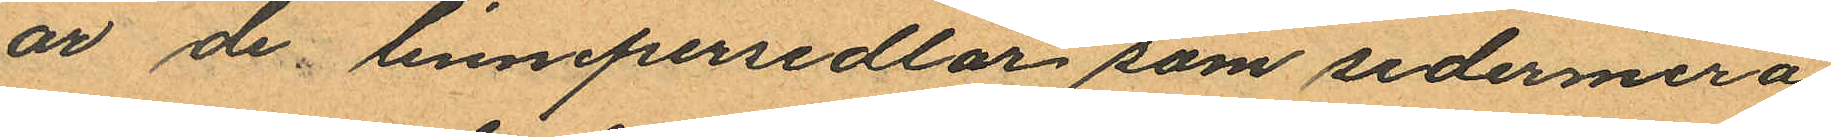är de linnepersedlar som sedermera
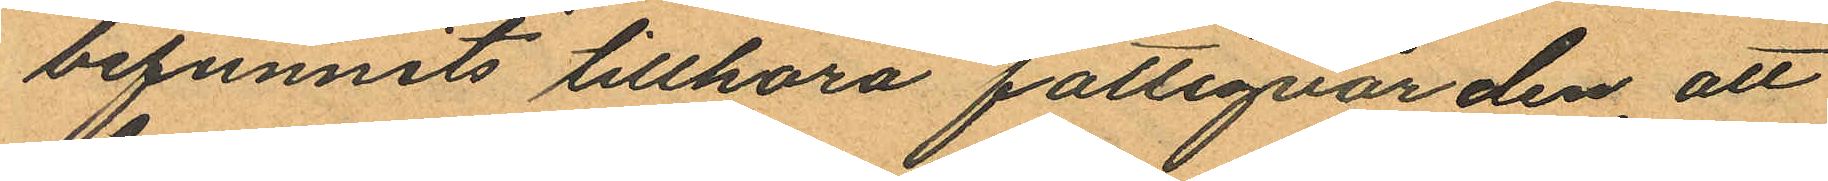befunnits tillhöra fattigvården, att
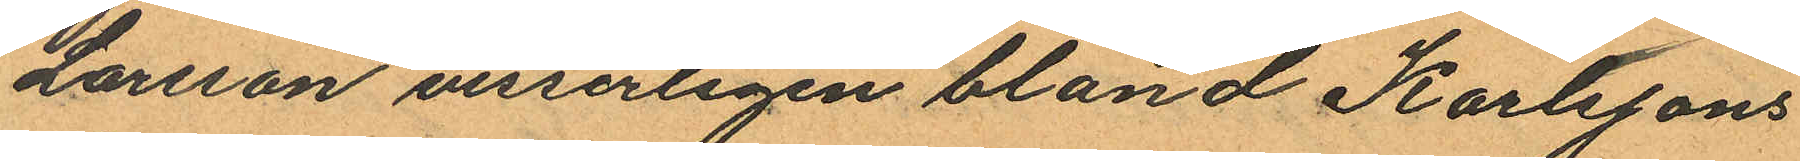Larsson visserligen bland Karlssons
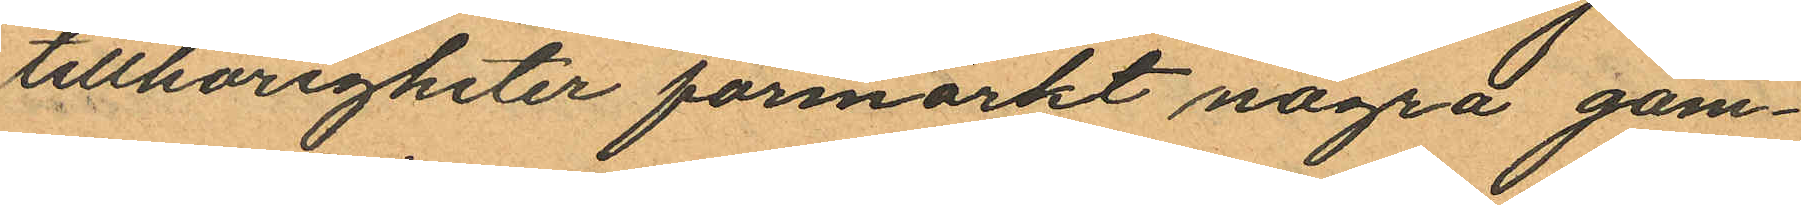tillhörigheter förmärkt några gam¬
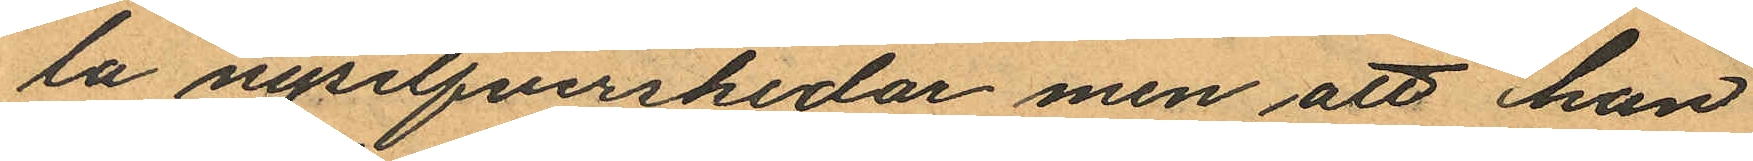la nysilfverskedar men att han
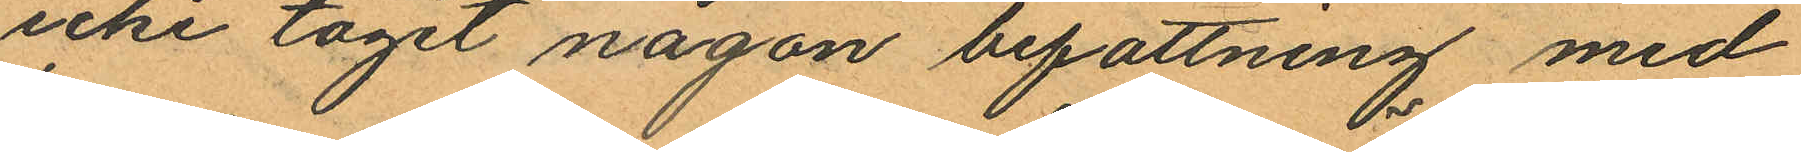icke tagit någon befattning med
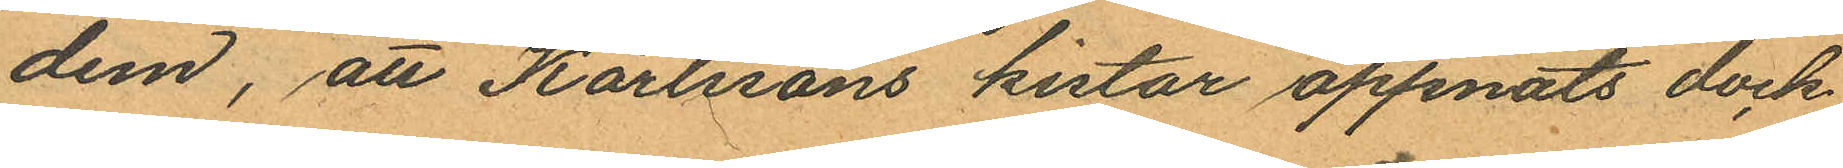dem, att Karlssons kistor öppnats dock
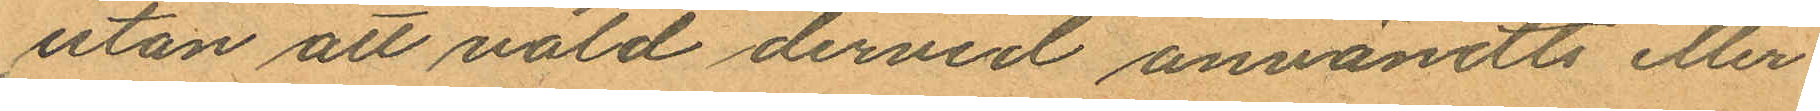utan att våld dervid användts eller
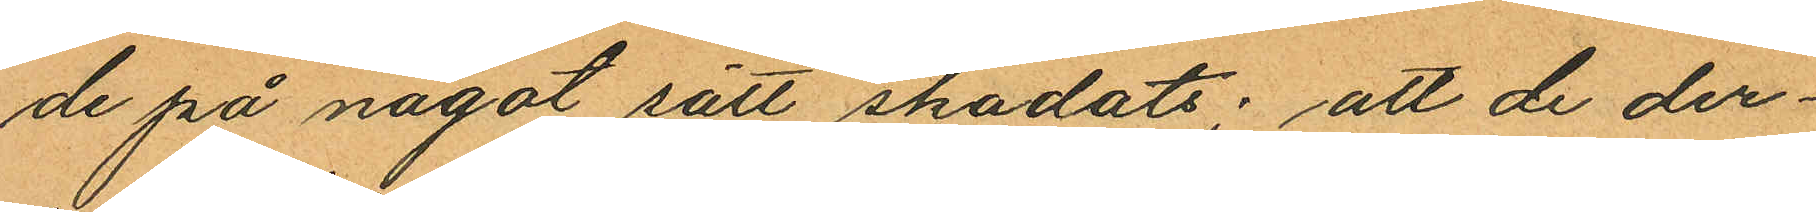de på något sätt skadats; att de der¬
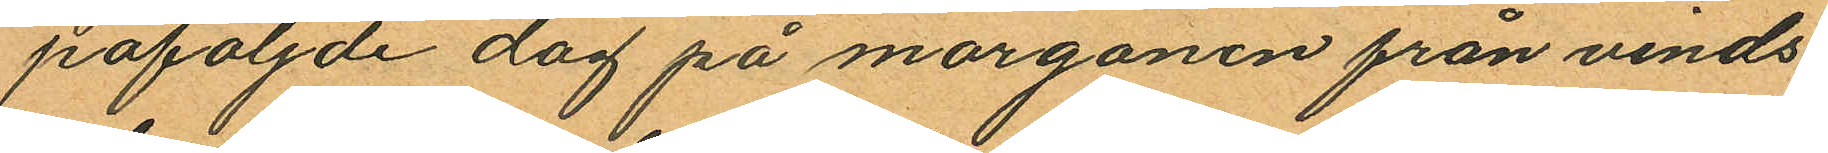påföljande dag på morgonen från vinds
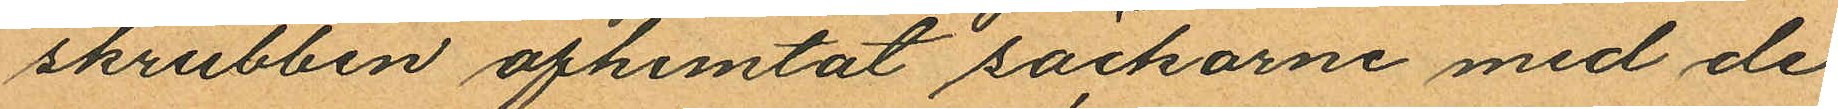skrubben afhemtat säckarne med de
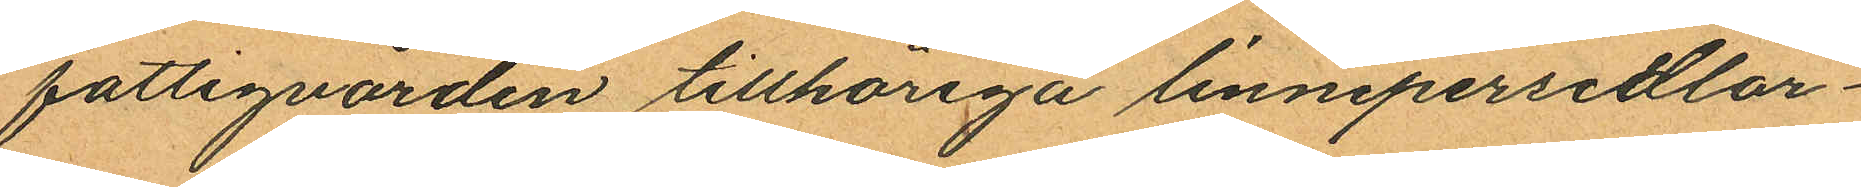fattigvården tillhöriga linnepersedlar¬
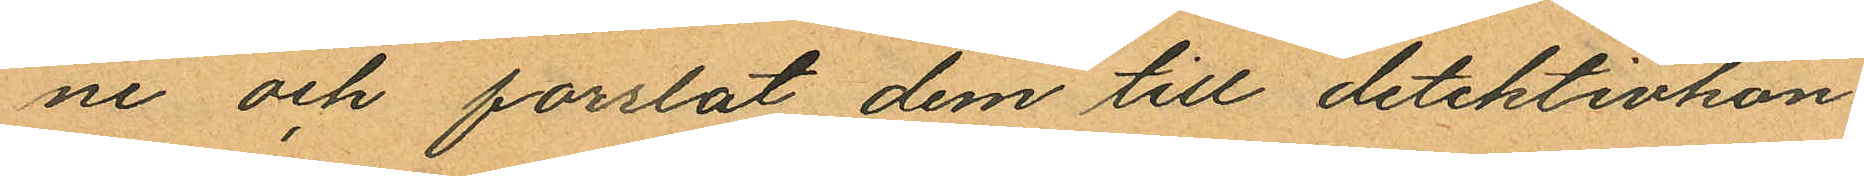ne och forslat dem till detektivkon¬
